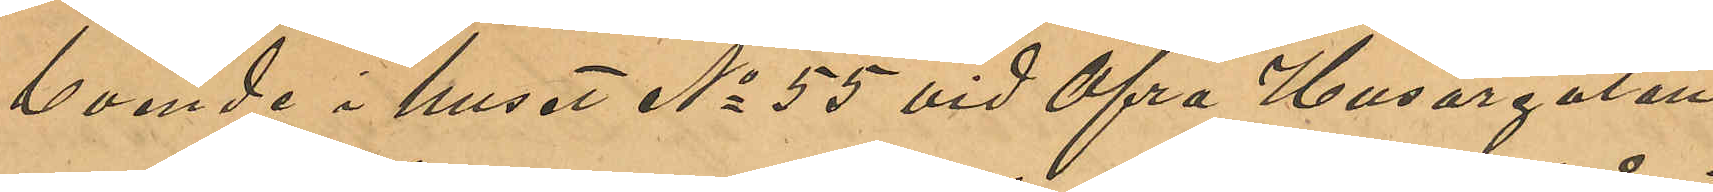boende i huset No 55 vid Öfra Husargatan;
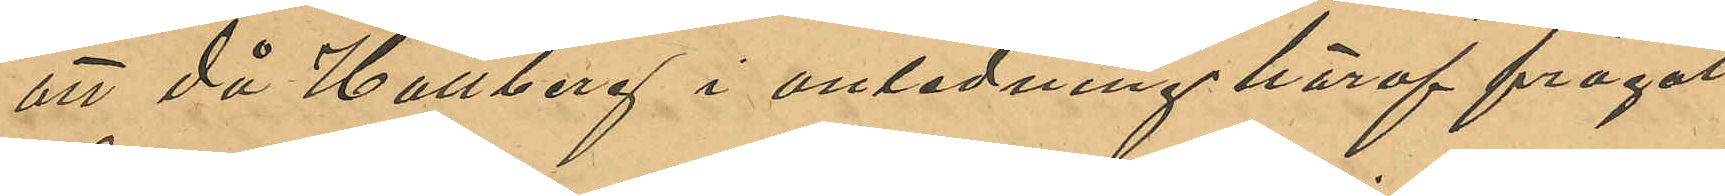att då Hallberg i anledning häraf frågat
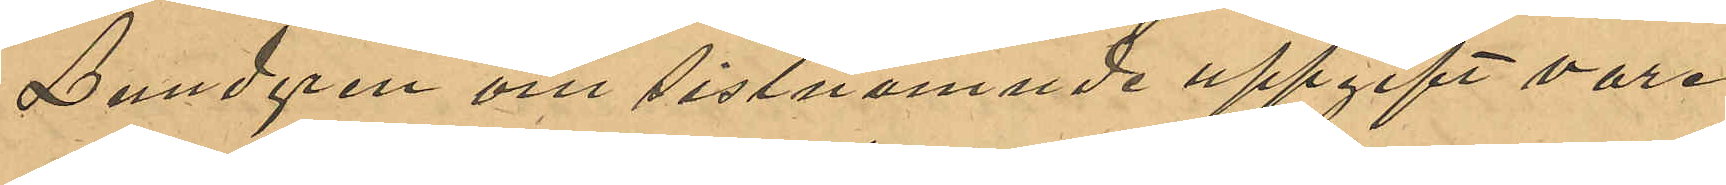Lundgren om sistnämnde uppgift vore
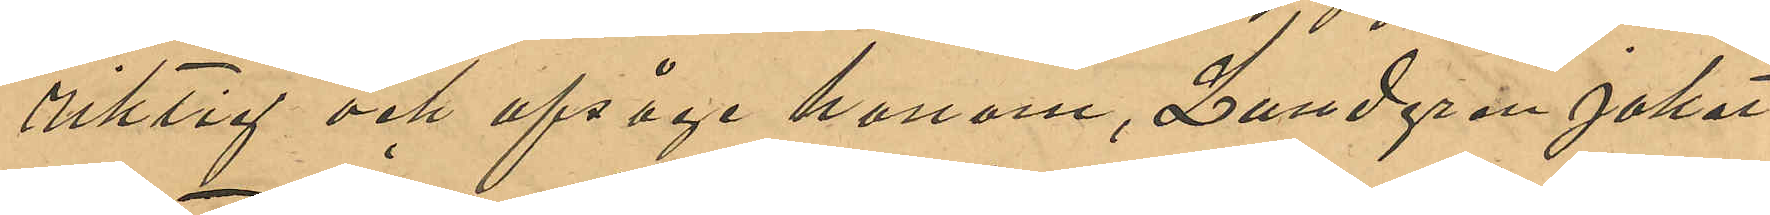riktig och afsåge honom, Lundgren jakat
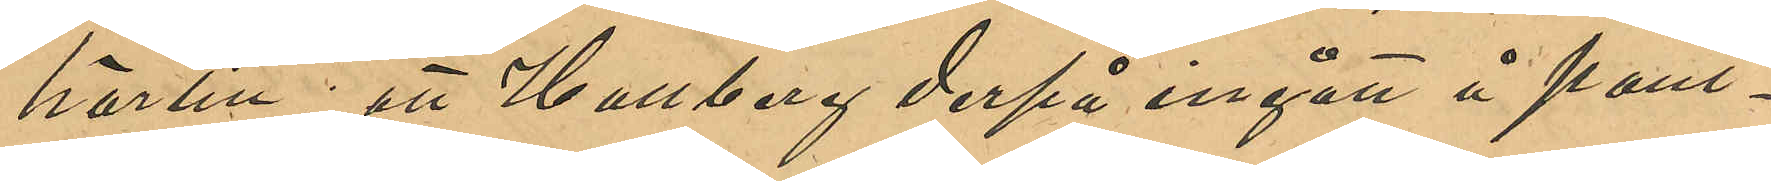härtill, att Hallberg derpå ingått å pant¬
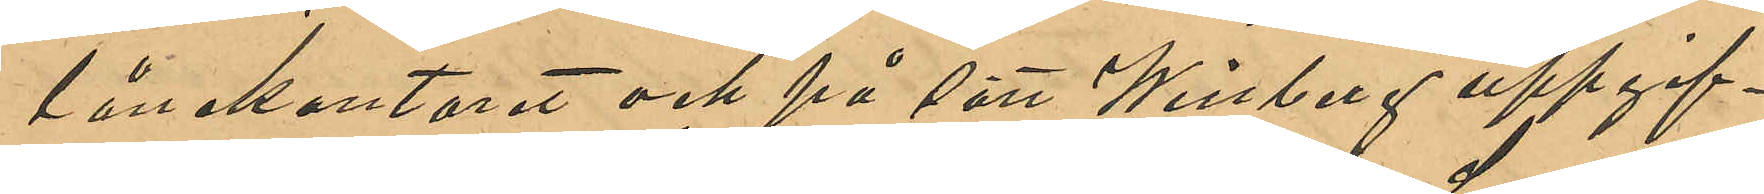lånekontoret och på sätt Winberg uppgif¬
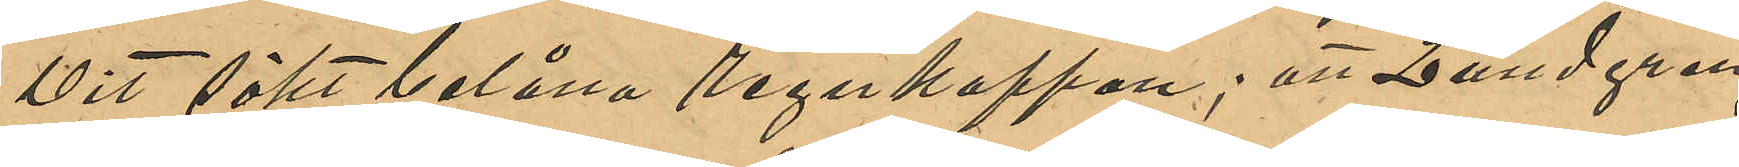vit sökt belåna regnkappan; att Lundgren
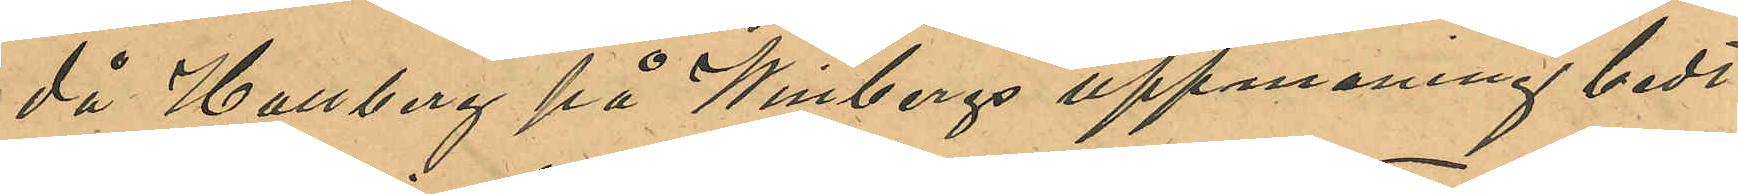då Hallberg på Winbergs uppmaning bedt
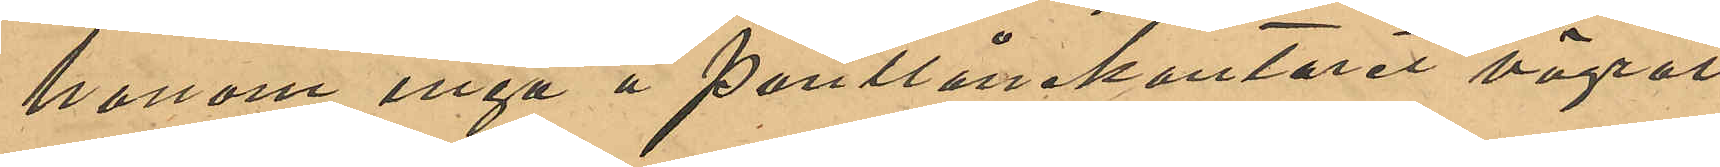honom ingå å Pantlånekontoret vägrat
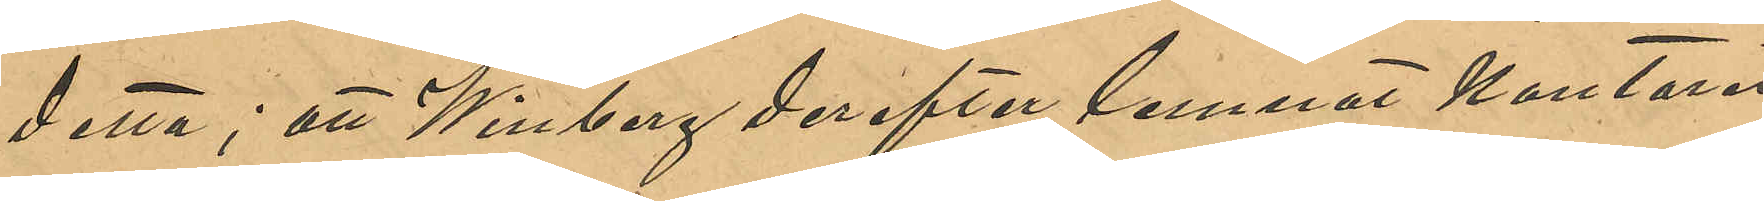detta; att Winberg derefter lemnat kontoret
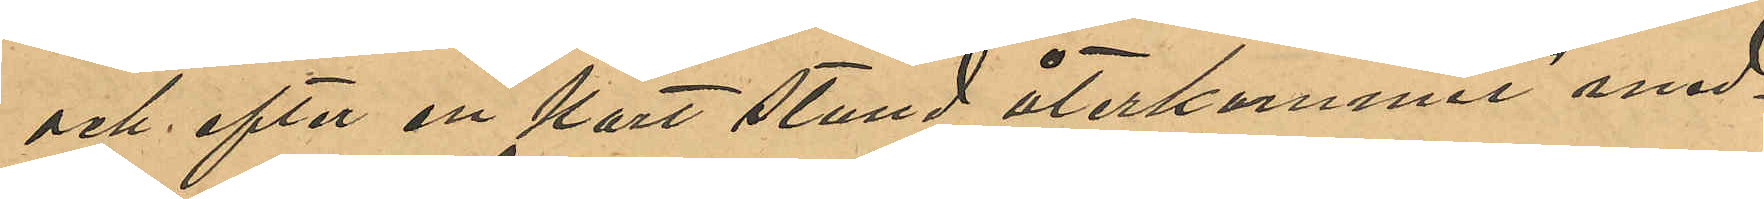och efter en kort stund återkommit med¬
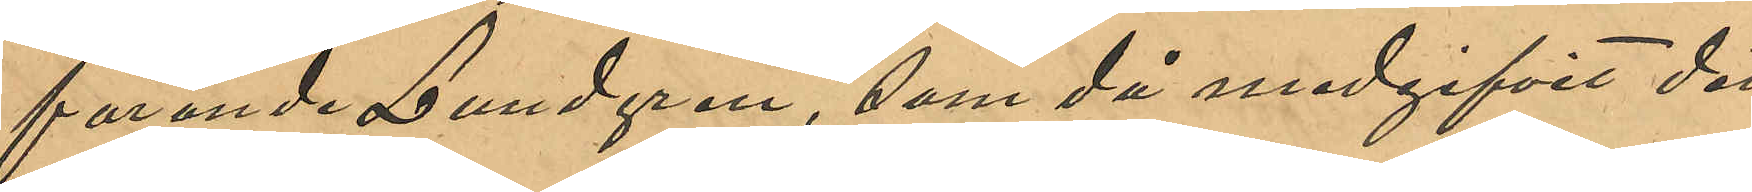förande Lundgren, som då medgifvit det
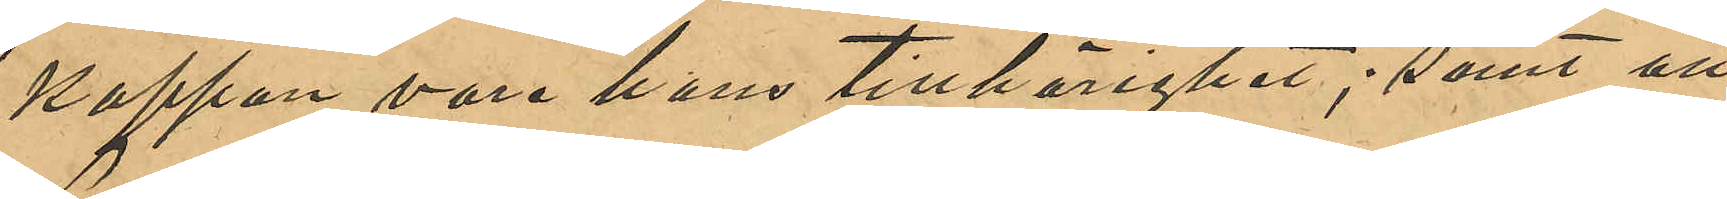kappan vore hans tillhörighet; samt att
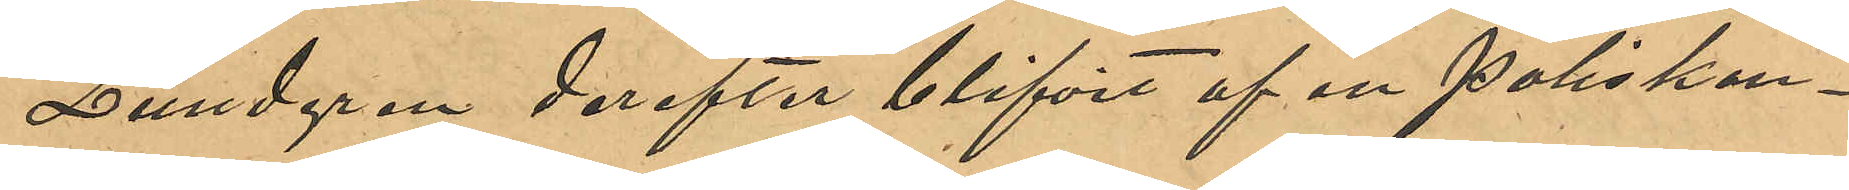Lundgren derefter blifvit af en Poliskon¬
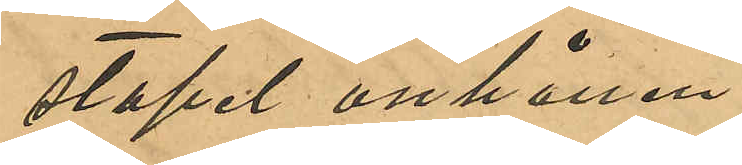stapel anhållen;
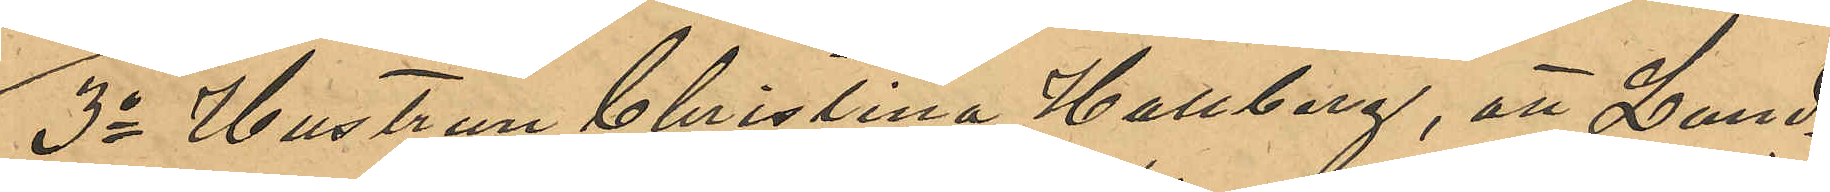3o Hustrun Christina Hallberg, att Lund¬
